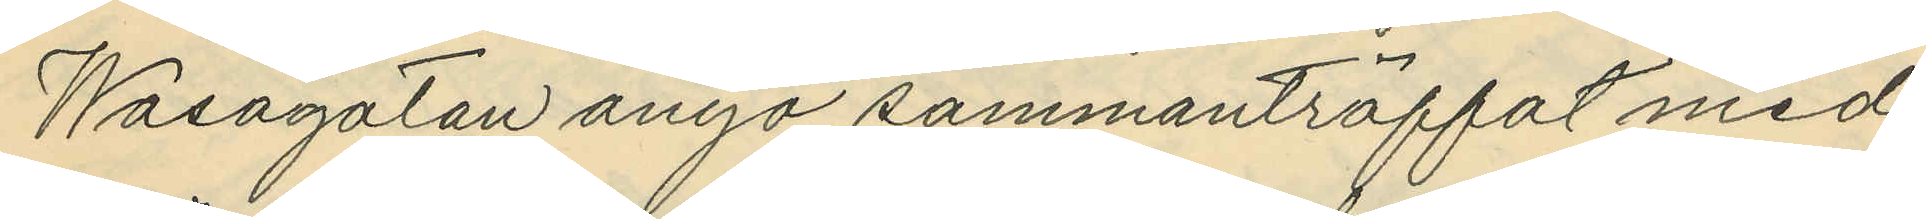Wasagatan ånyo sammanträffat med
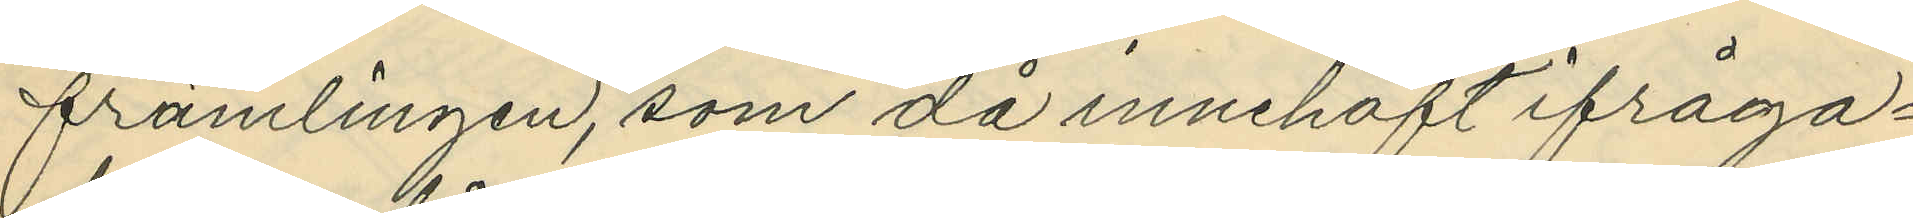främlingen, som då innehaft ifråga¬
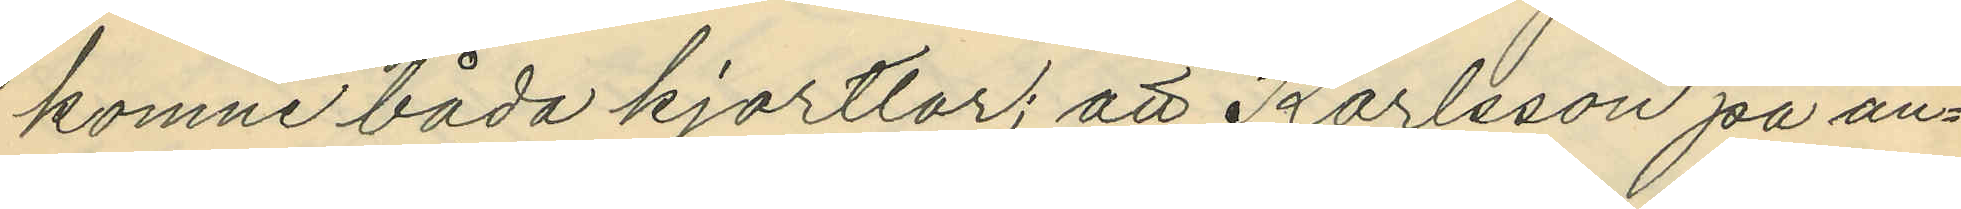komne båda kjortlar; att Karlsson på an¬
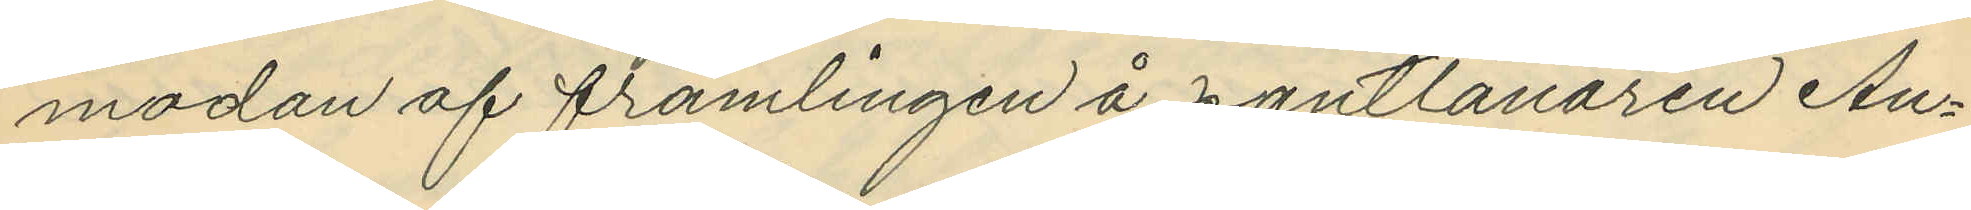modan af främlingen å pantlånaren An¬
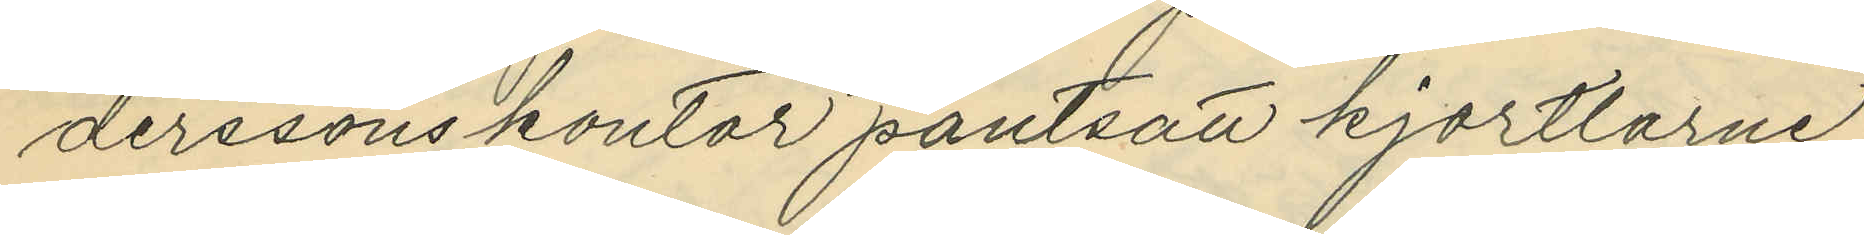derssons kontor pantsatt kjortlarne
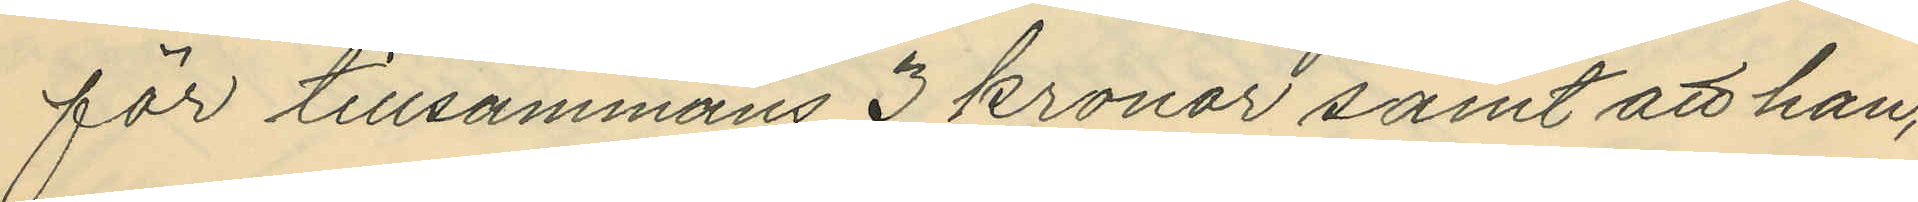för tillsammans 3 kronor samt att han,
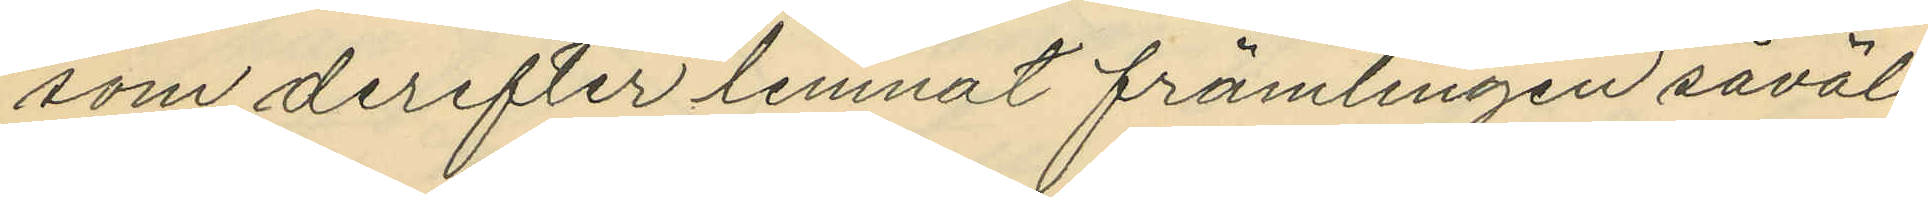som derefter lemnat främlingen såväl
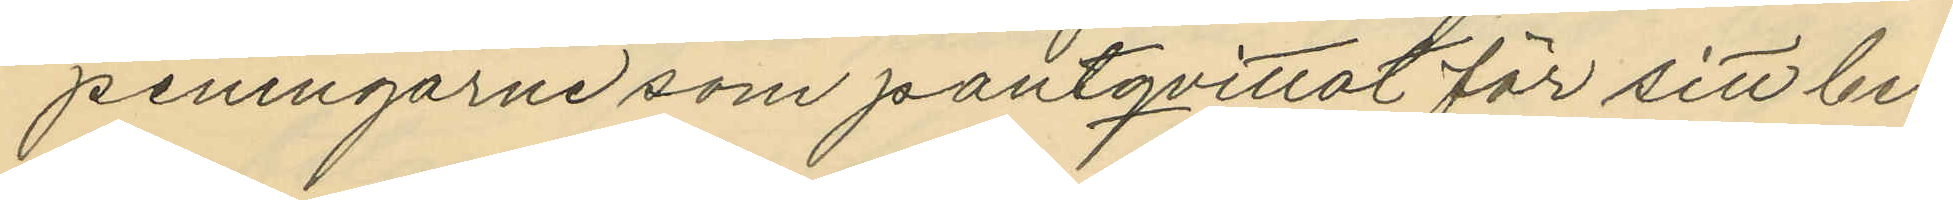peningarne som pantqvittot för sitt be¬
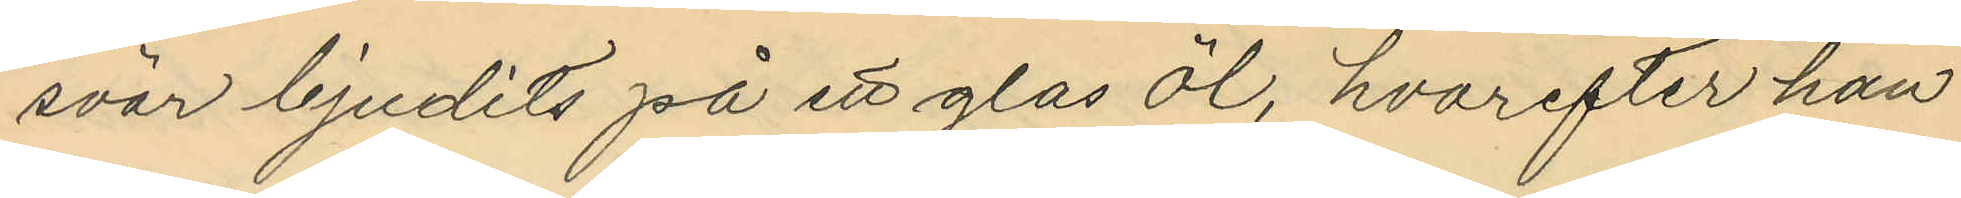svar bjudits på ett glas öl, hvarefter han
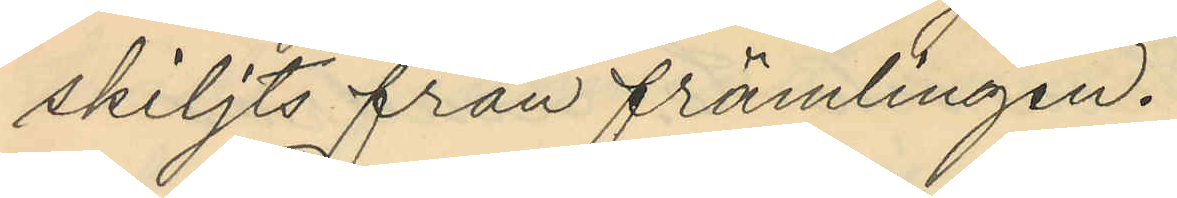skiljts från främlingen.
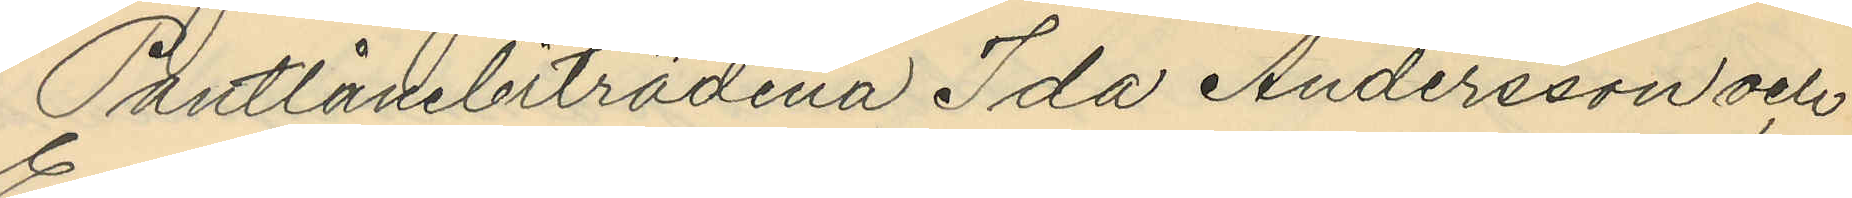Pantlånebiträdena Ida Andersson och
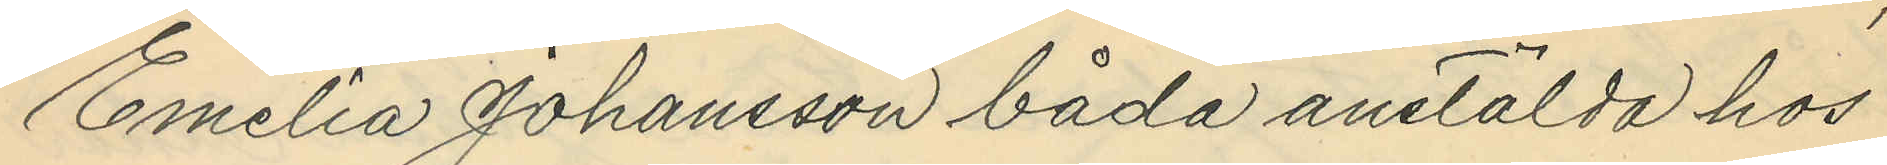Emelia Johansson båda anstälda hos
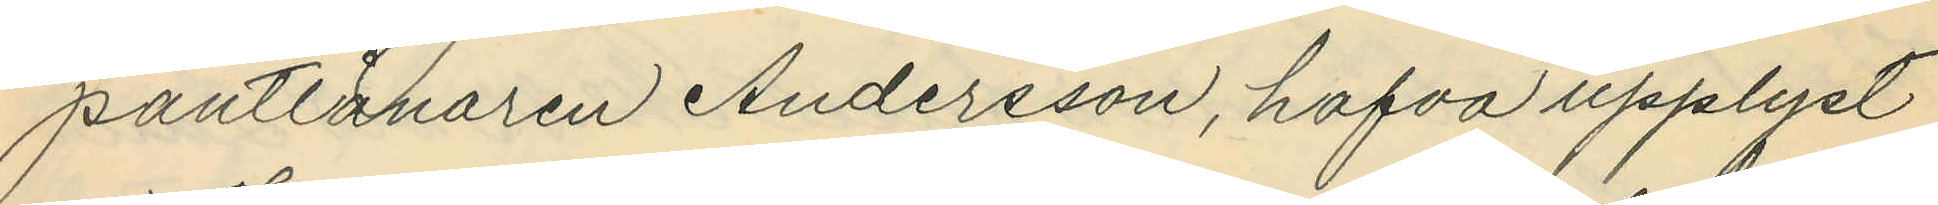pantlånaren Andersson, hafva upplyst
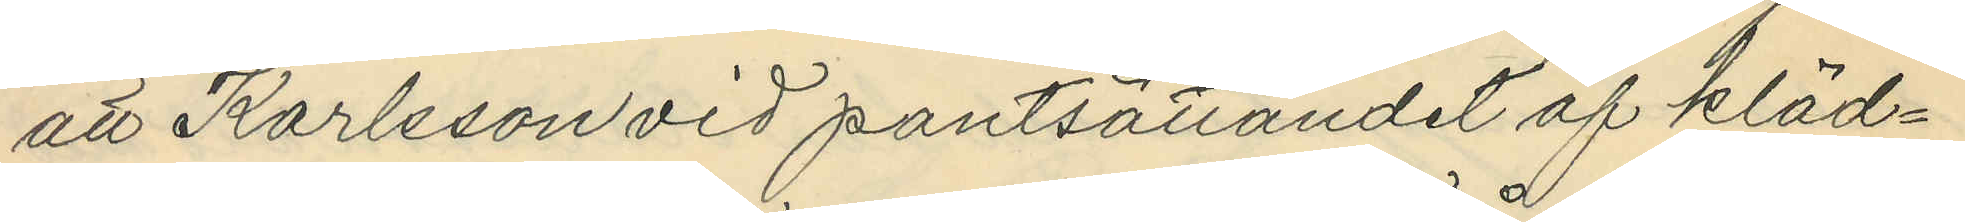att Karlsson vid pantsättandet af kläd¬
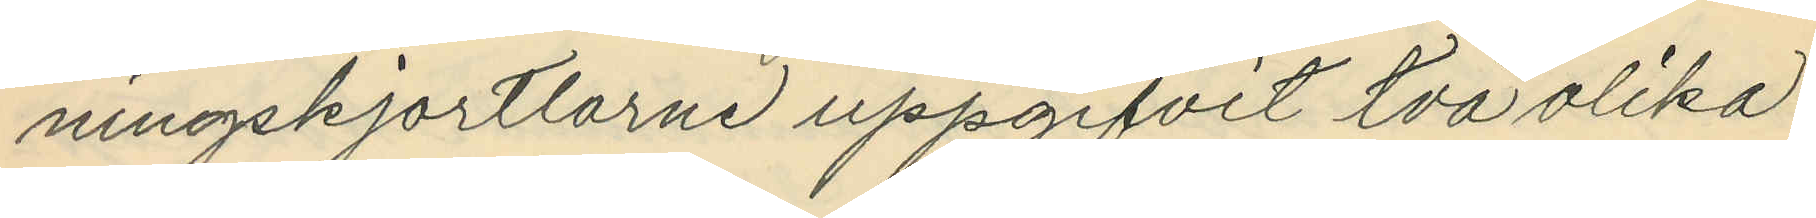ningskjortlarne uppgifvit två olika
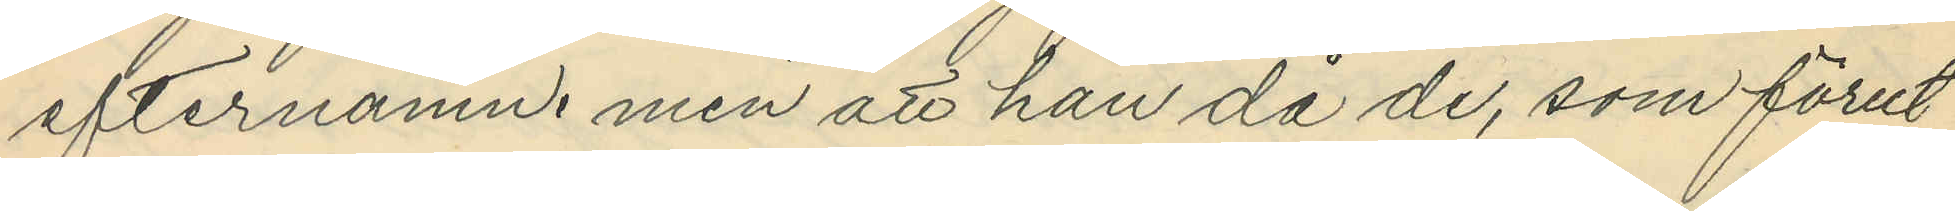efternamn, men att han då de, som förut
